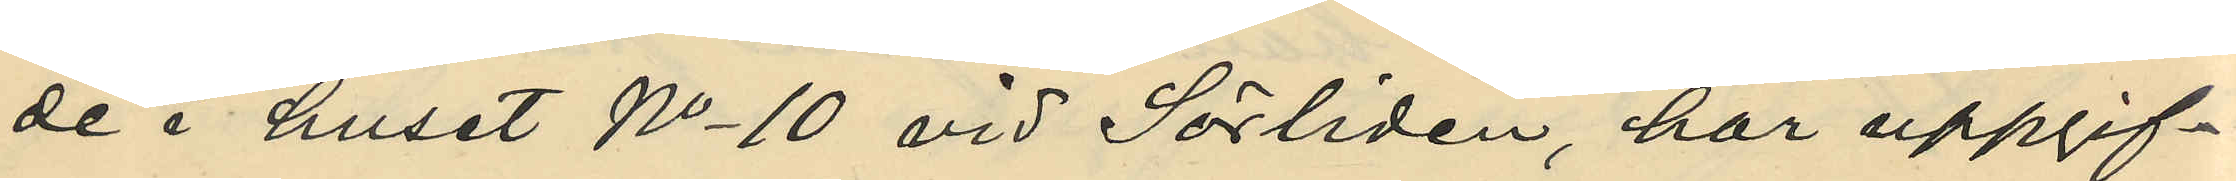de i huset No 10 vid Sörliden, har uppgif¬
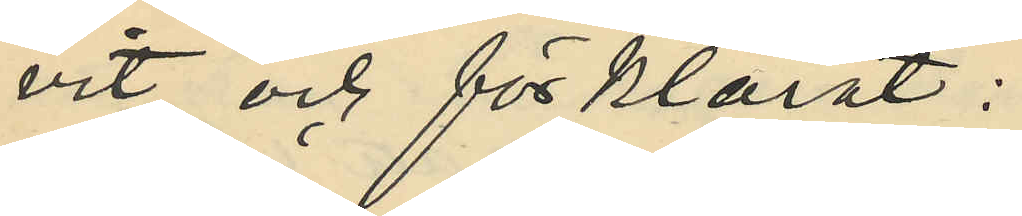vit och förklarat:
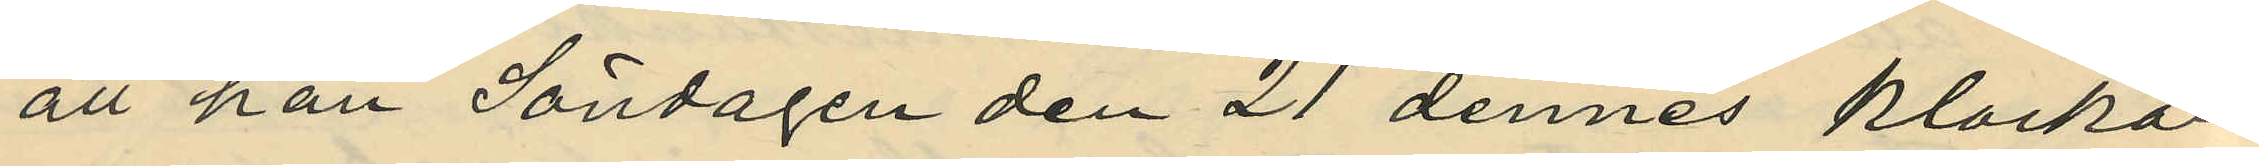att han Söndagen den 21 dennes klockan
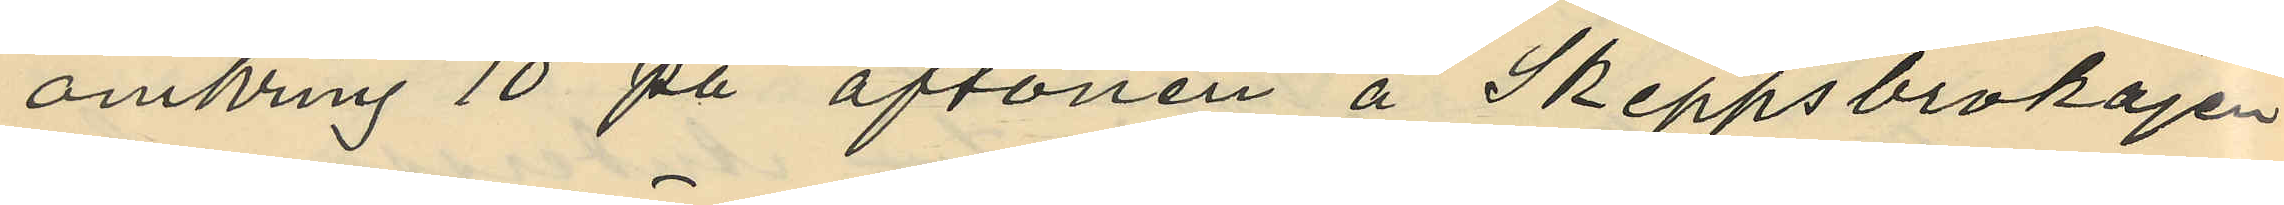omkring 10 på aftonen å Skeppsbrokajen
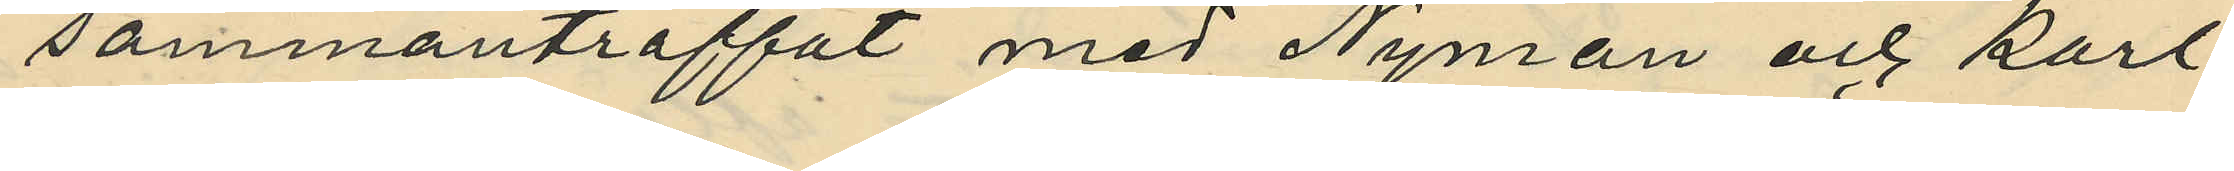sammanträffat med Nyman och Karl
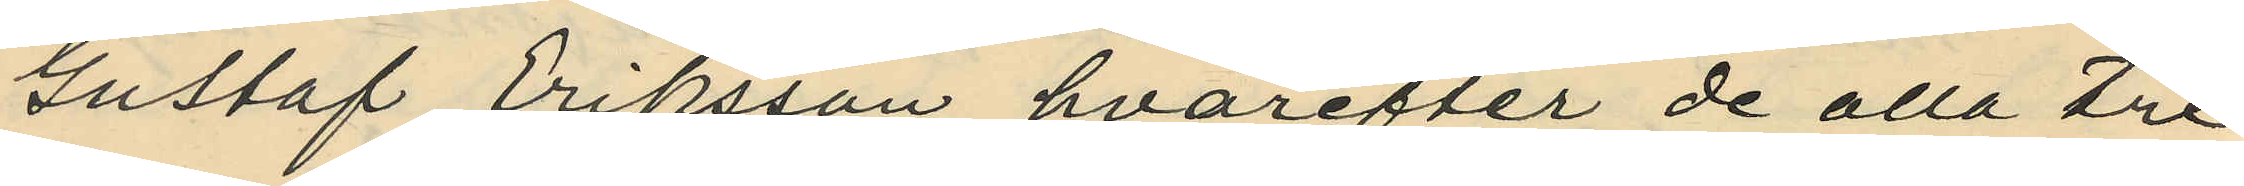Gustaf Eriksson, hvarefter de alla tre
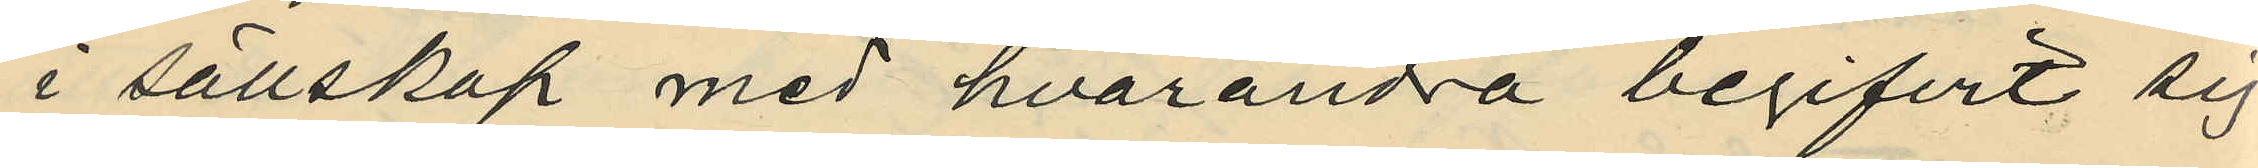i sällskap med hvarandra begifvit sig
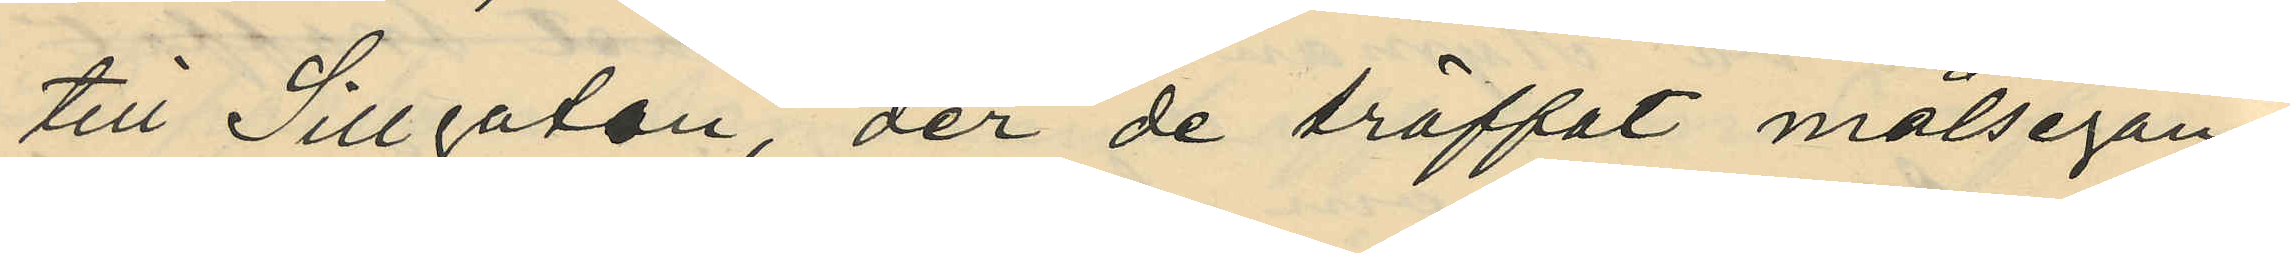till Sillgatan, der de träffat målsegan¬
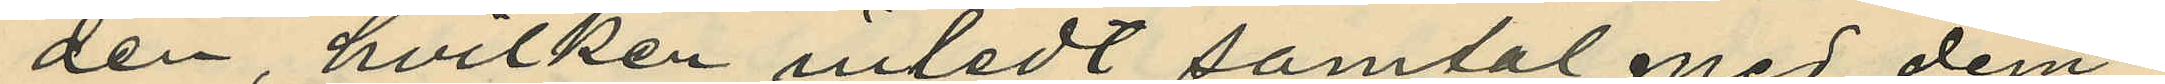den, hvilken inledt samtal med dem;
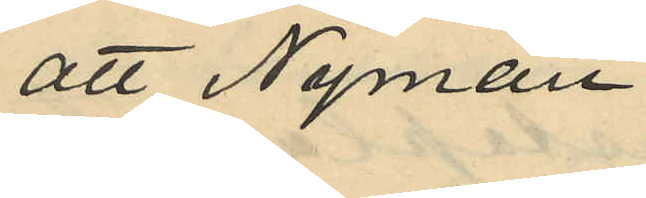att Nyman
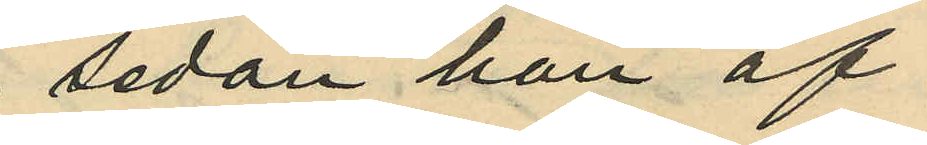sedan han af
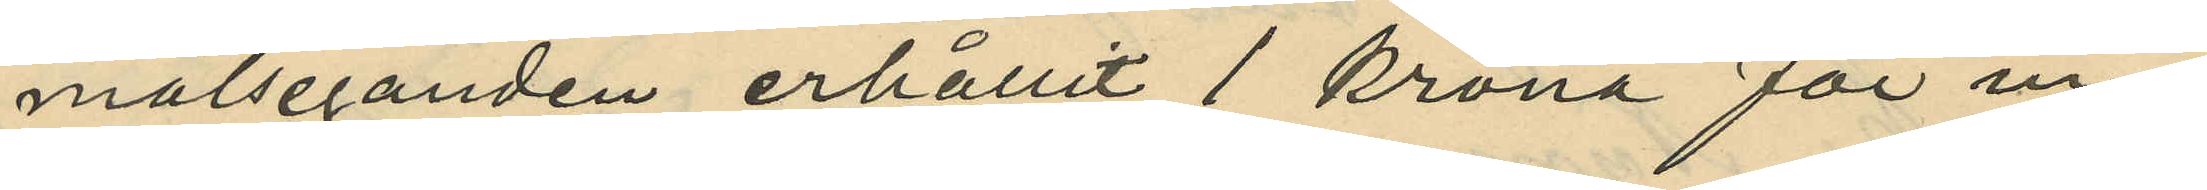målseganden erhållit 1 krona för in¬
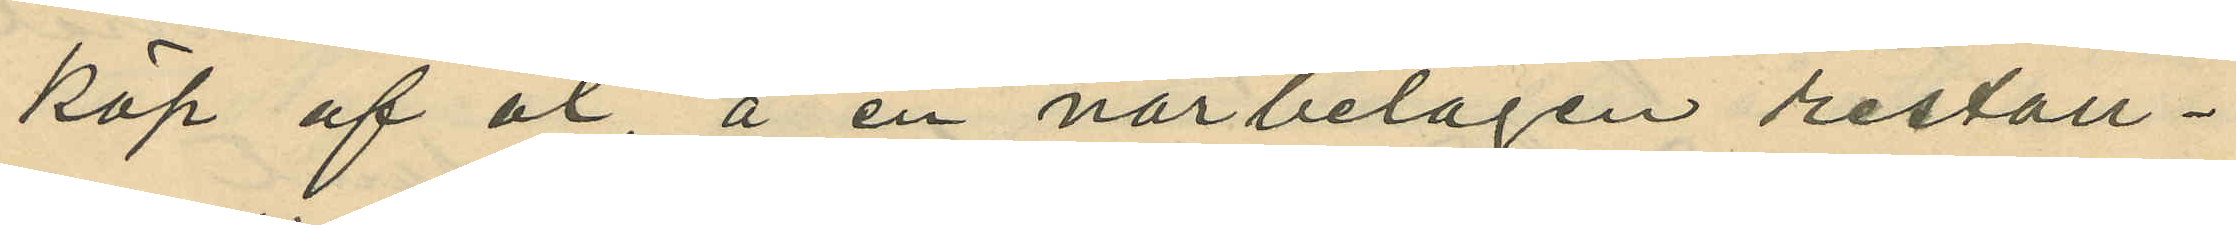köp af öl, å en närbelägen restau¬
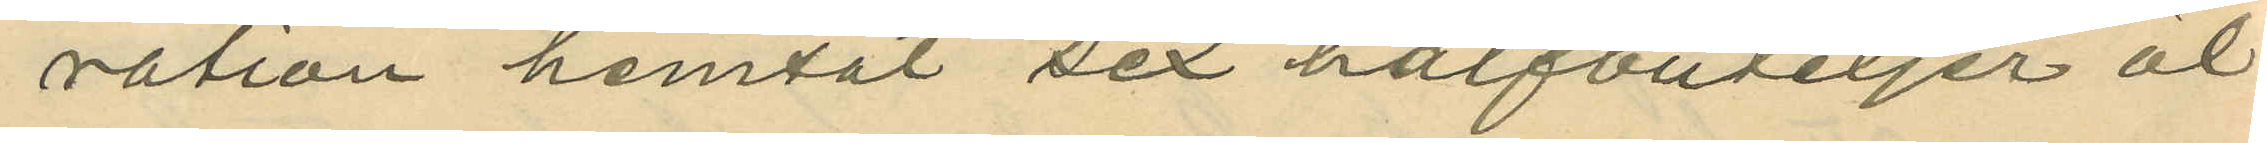ration hemtat sex halfbuteljer öl
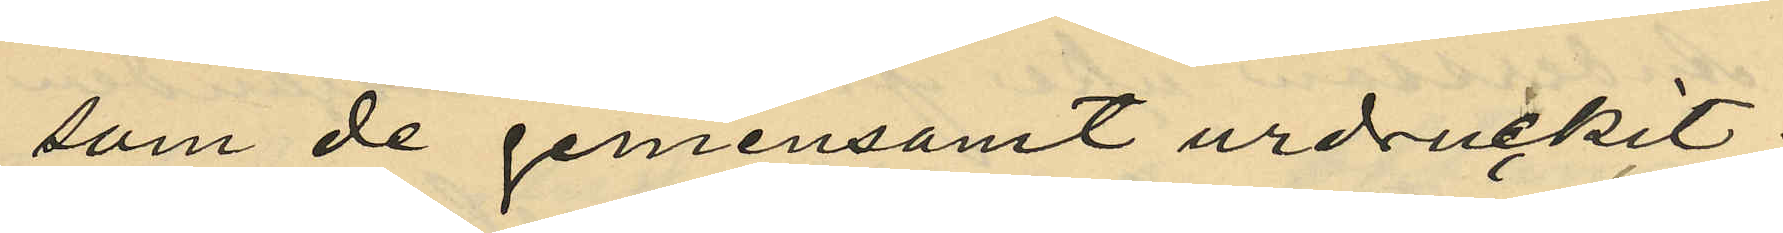som de gemensamt urdruckit.
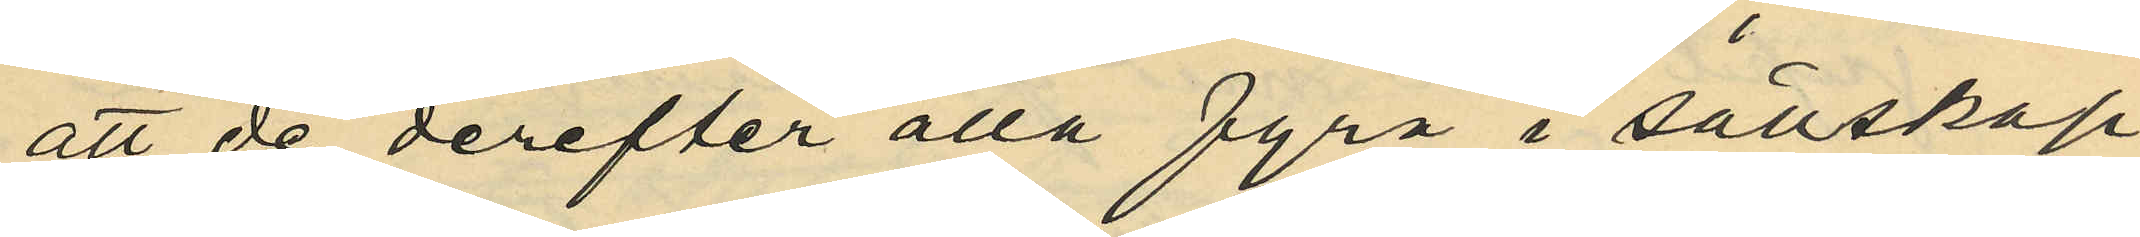att de derefter alla fyra i sällskap
